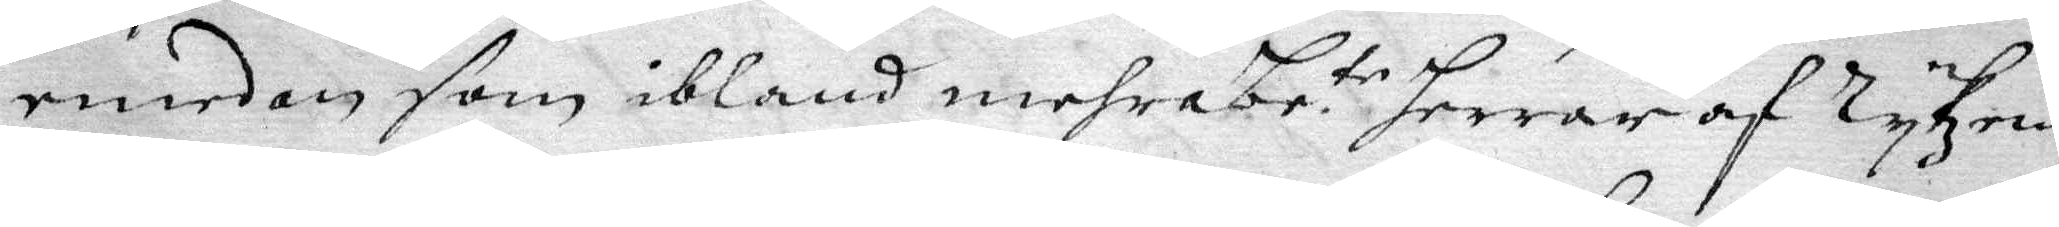emedan som ibland mehra be. te Herrar och Rykzens
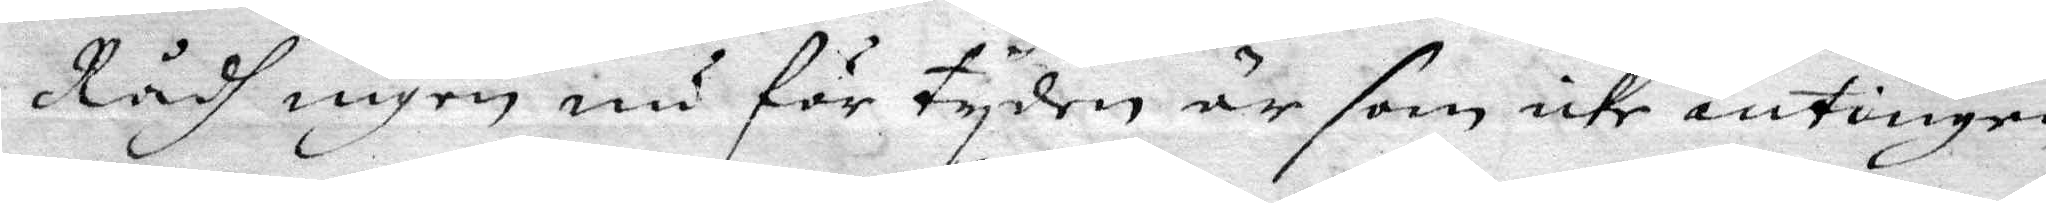Rådh ingen nu för tyden är som icke antingen
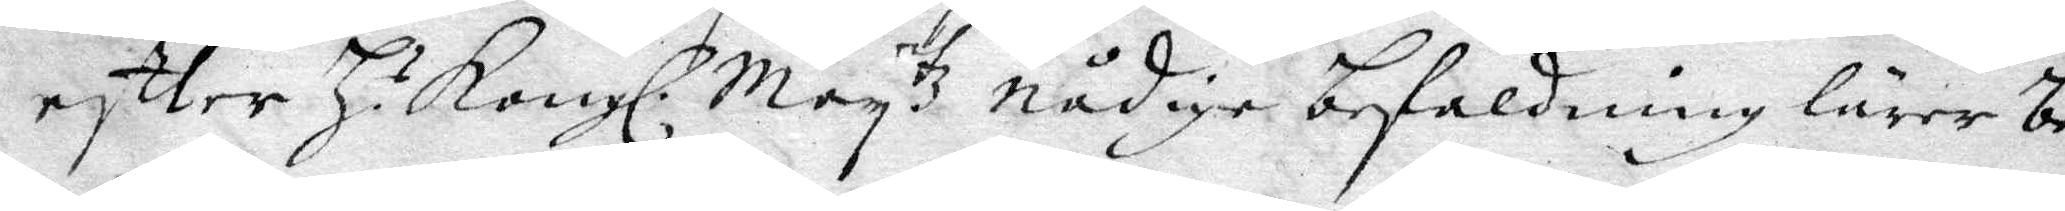effter H. s Kongl. May tz nådige befaldning lärer be¬
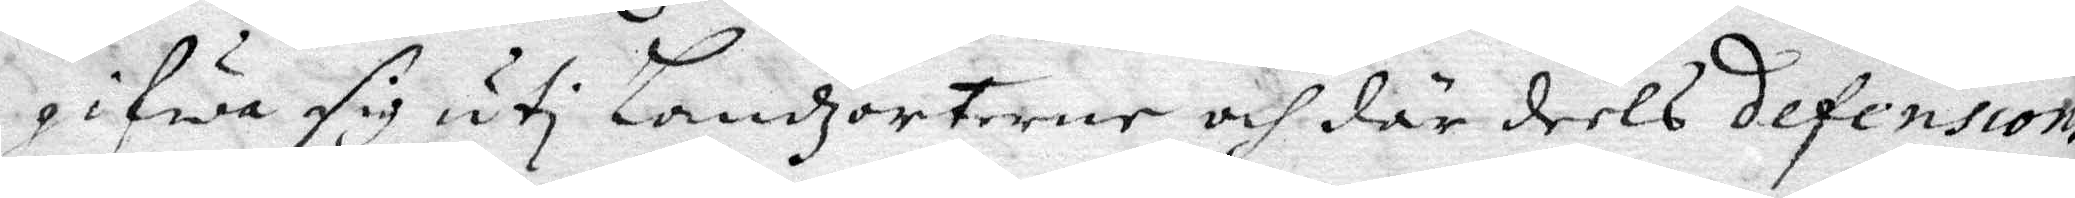gifwa sig uti Landzorterne och där deels defension
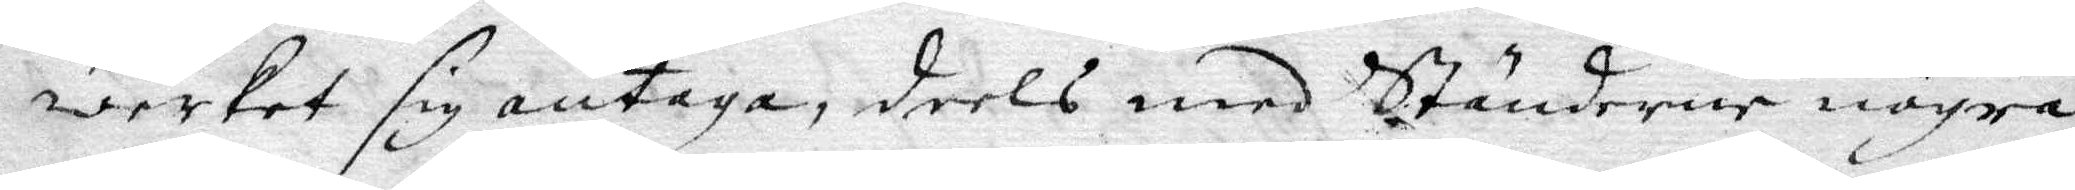werket sig antaga, deels med Ständerne några
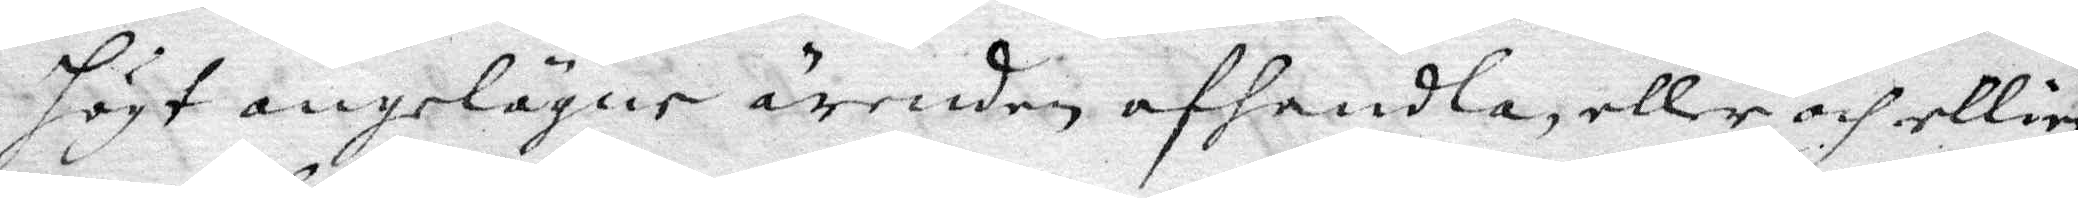högt angelögne ärenden afhandla, eller och ellisst
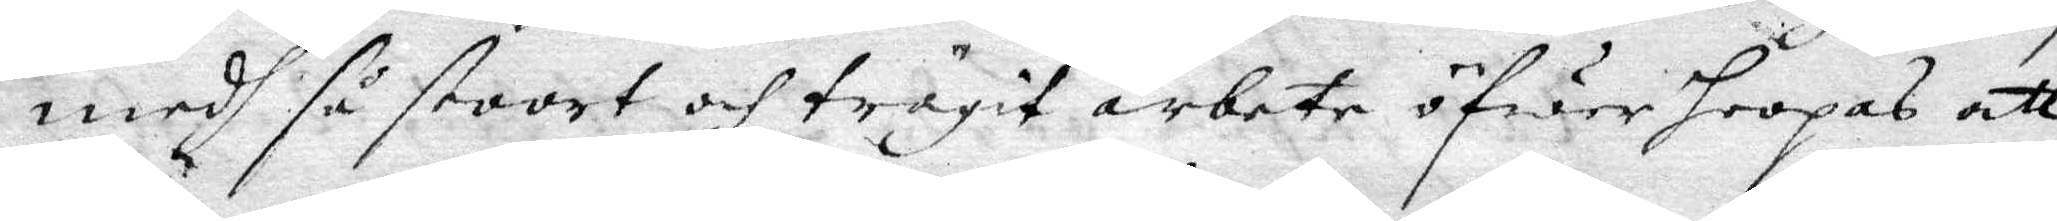medh så stoort och trägit arbete öfwer hoopas att
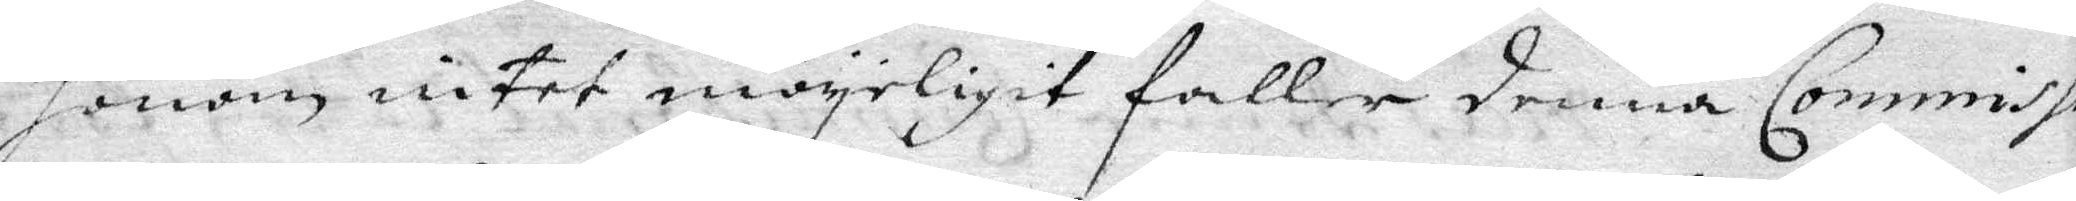honom intet möyeligit faller denna Commissio¬
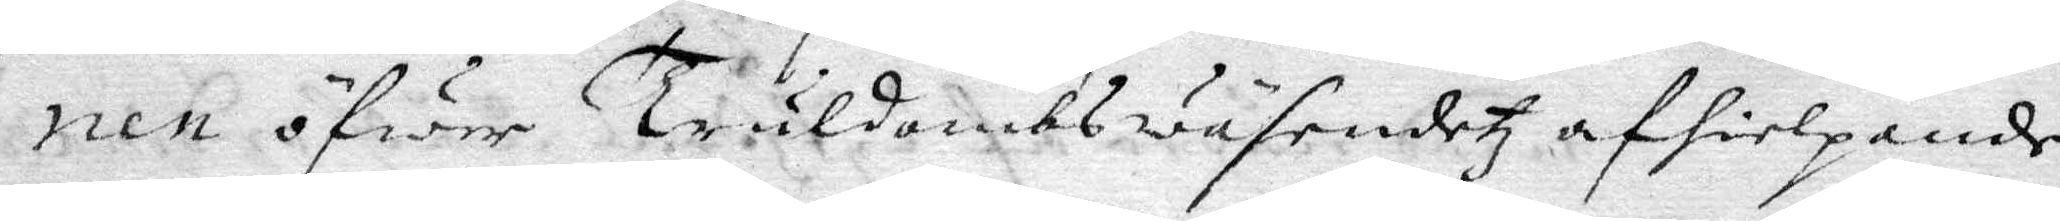nen öfwer Trulldombswäsendetz af hielpande
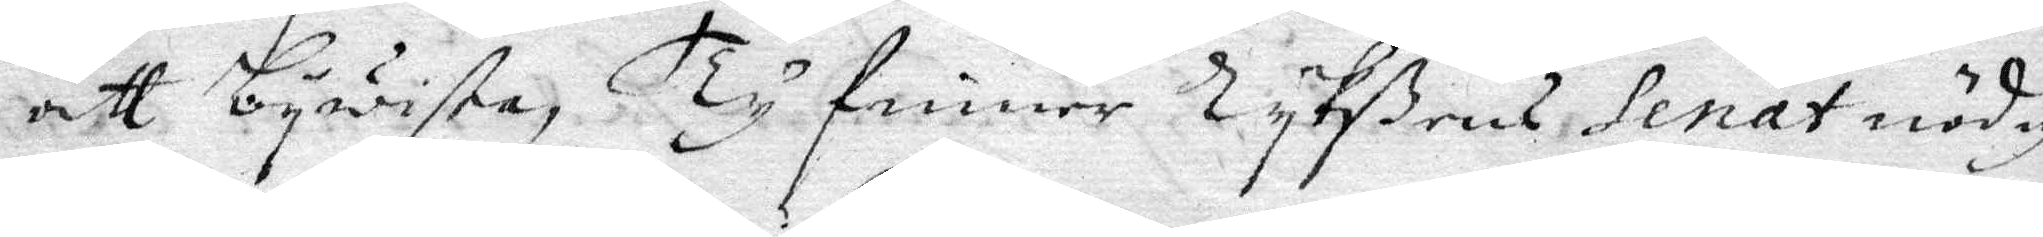att bewista, Ty finner Rykßens senat nödigt
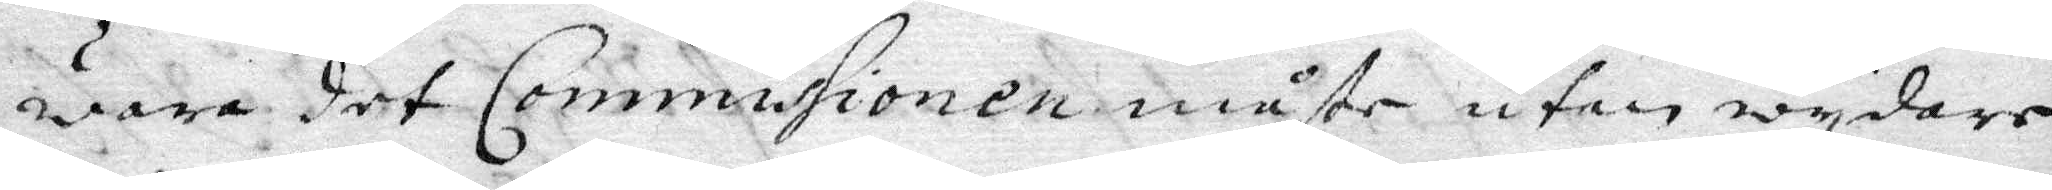wara det Commissionen måste utan wydare
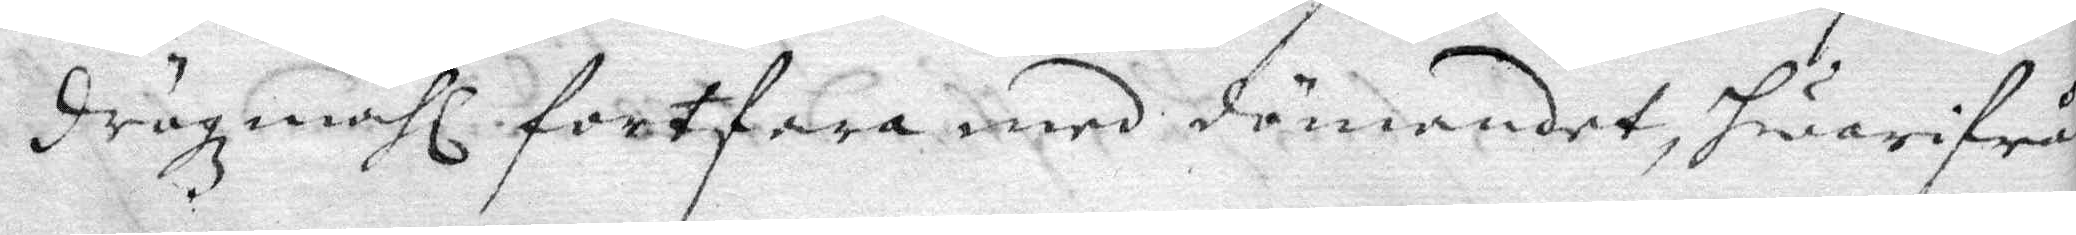drögzmåhl fortfara med dömandet, hwarifrån
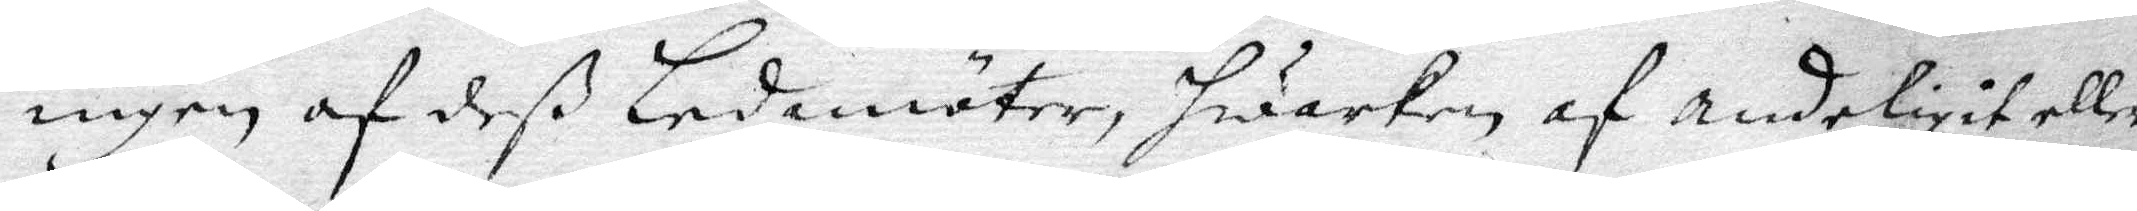ingen af deß Ledamöter, hwarken af andeligit eller
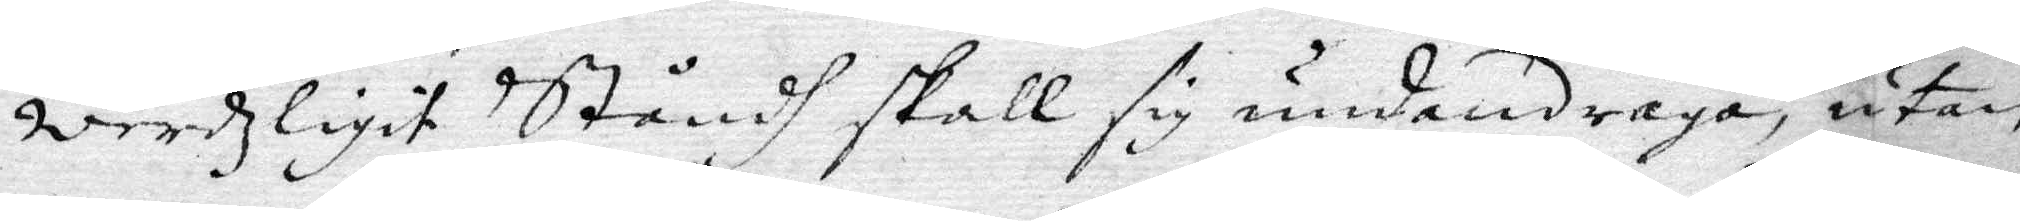werdzligit Ståndh skall sig undandraga, utan
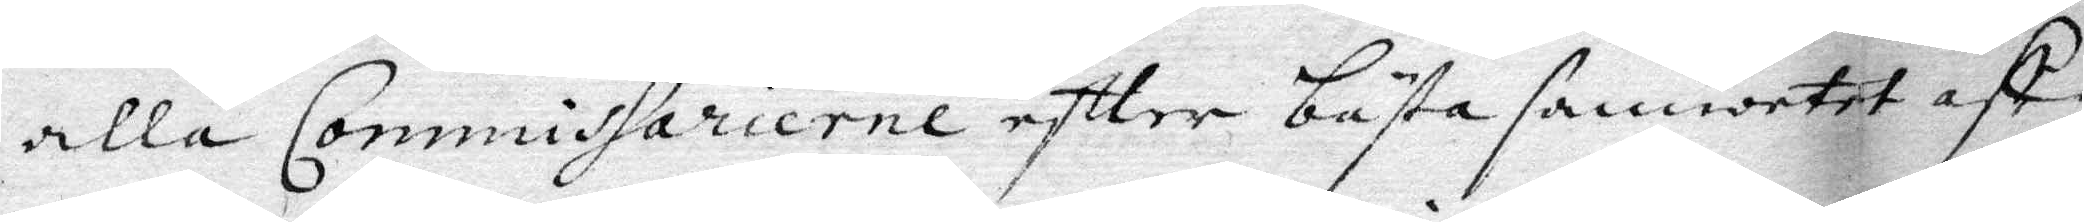alla Commissarierne effter bästa samwetet aff¬
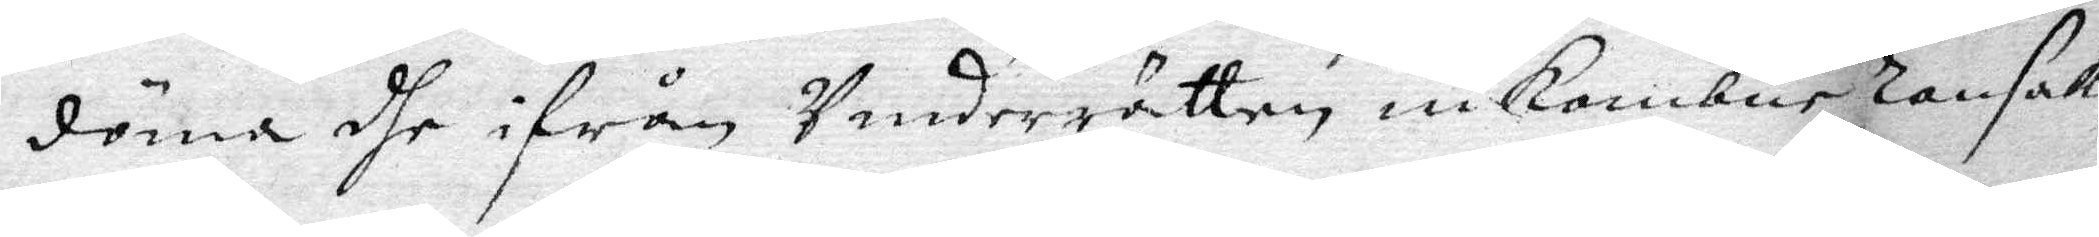döma dhe ifrån Underrätten, inkombne ransak¬
